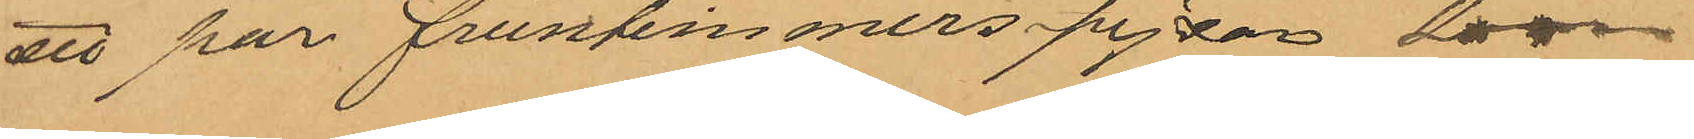ett par fruntimmerspjexor som
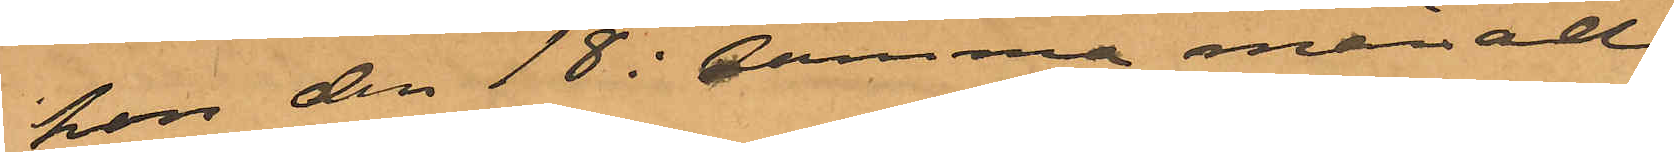hon den 18 i samma månad
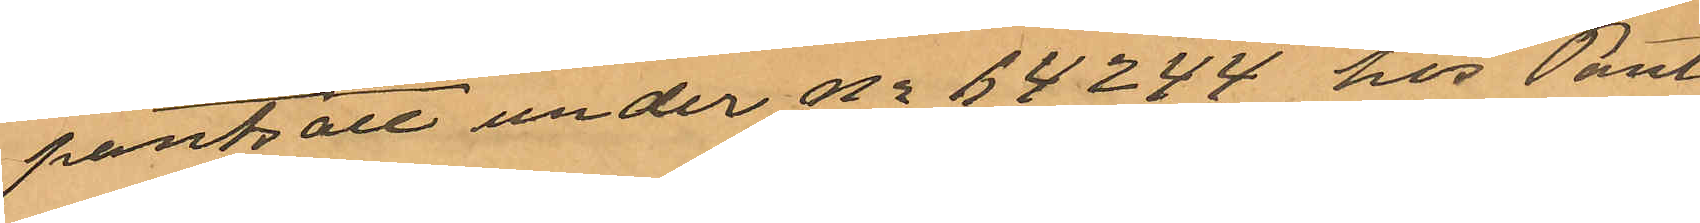pantsatt under No 64244 hos Pant¬
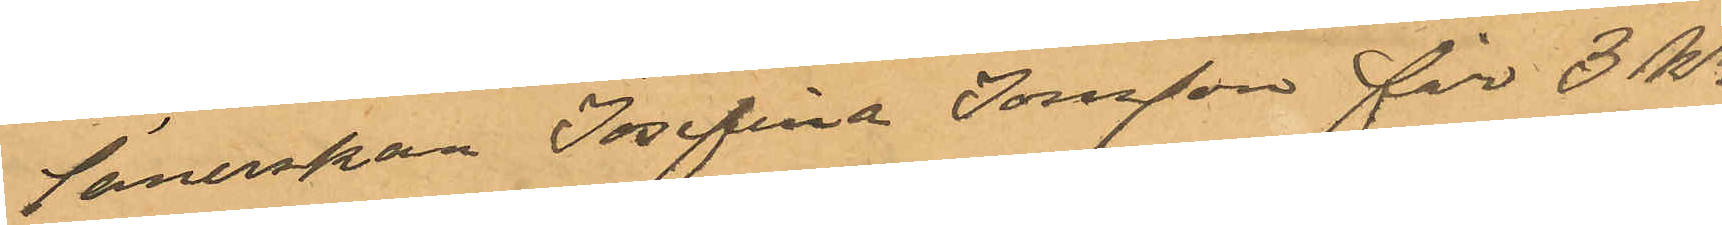lånerskan Josefina Jonsson för 3 kr;
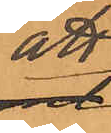att
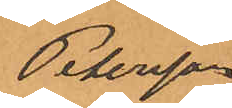Petersson
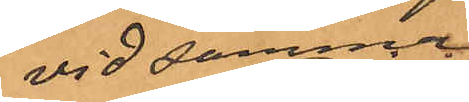vid samma
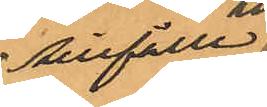tillfälle
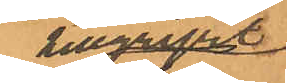tillgripit
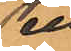ett
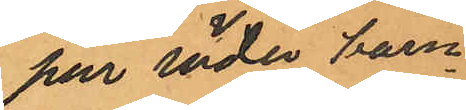par röda barn¬
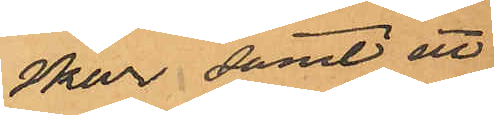skor samt ett
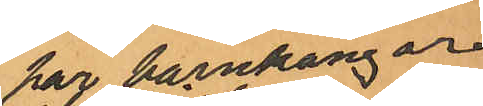par barnkänger
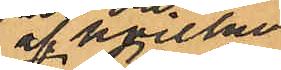af hvilka
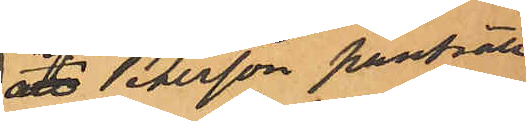att Petersson pantsatt
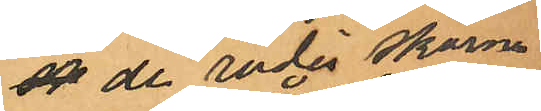ot de röda skorna
